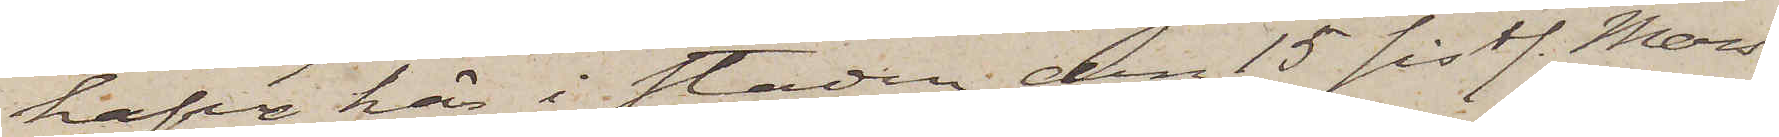hafva här i staden den 15 sistl. Mars
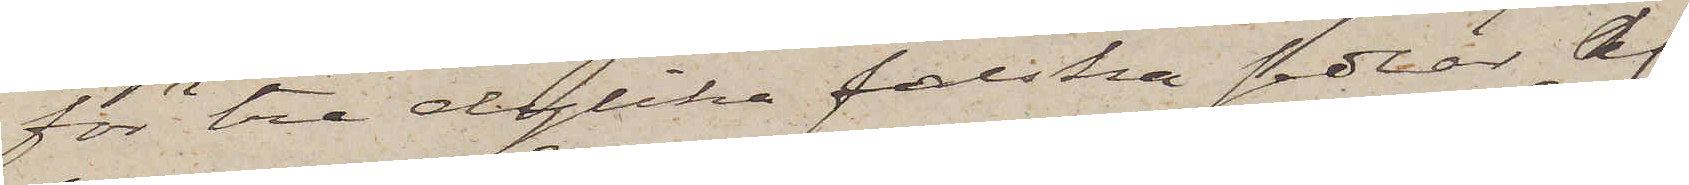för tre dylika falska sedlar af
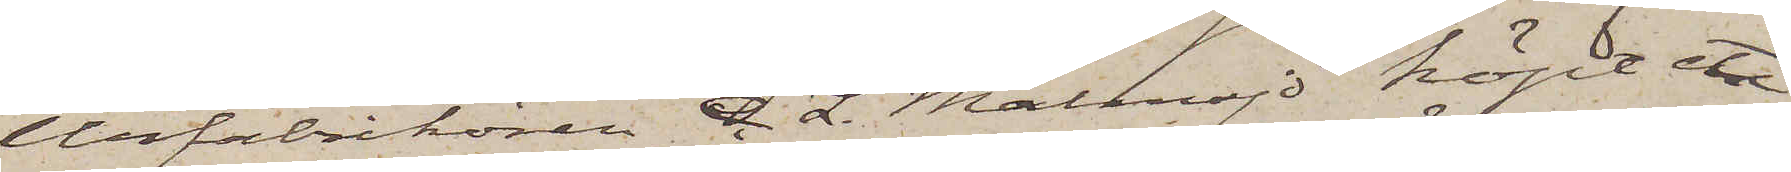Urfabrikören C. L. Malmsjö köpt ett
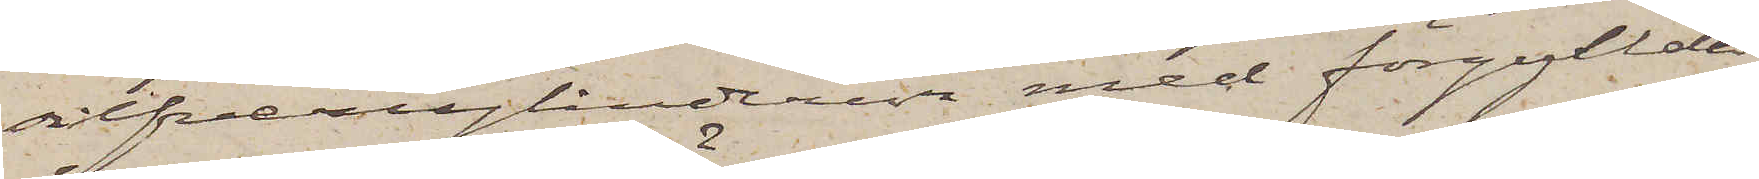silfvercylinderur med förgyllda
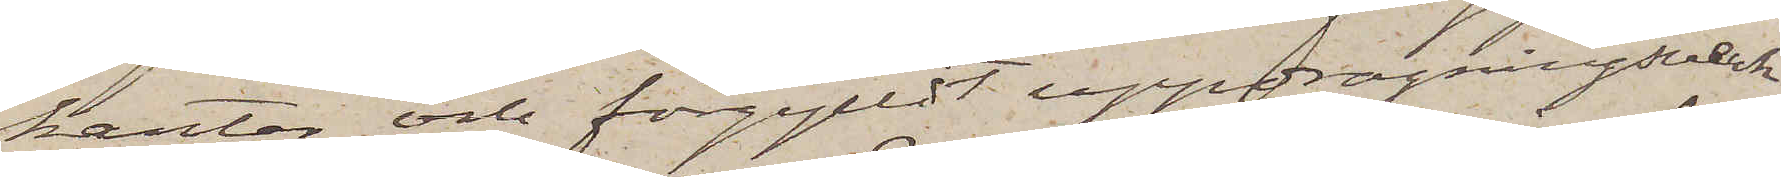kanter och förgylldt uppdragningsverk
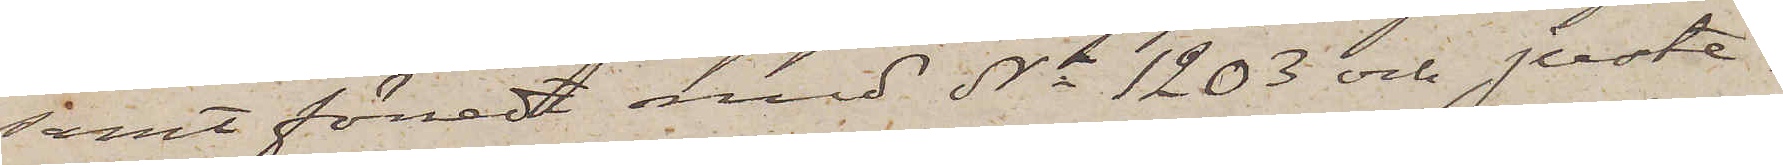samt försedt med No 1203 och juste¬
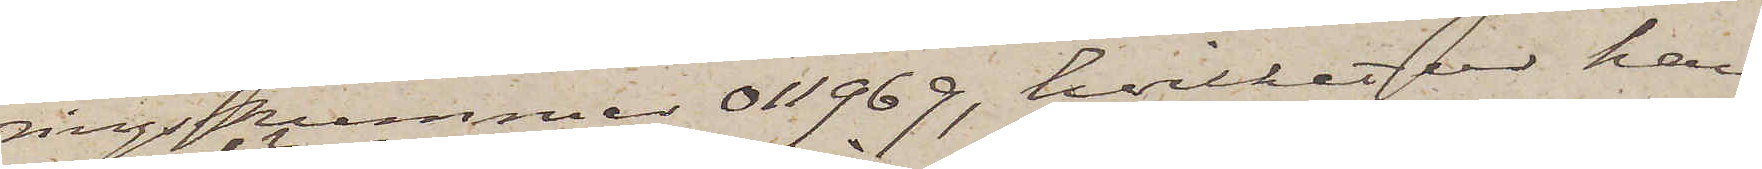ringsnummer 011969, hvilket ur han
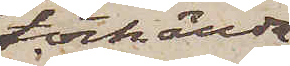törhända
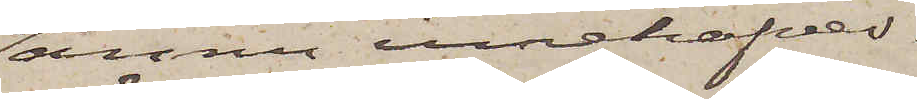ännu innehafver.
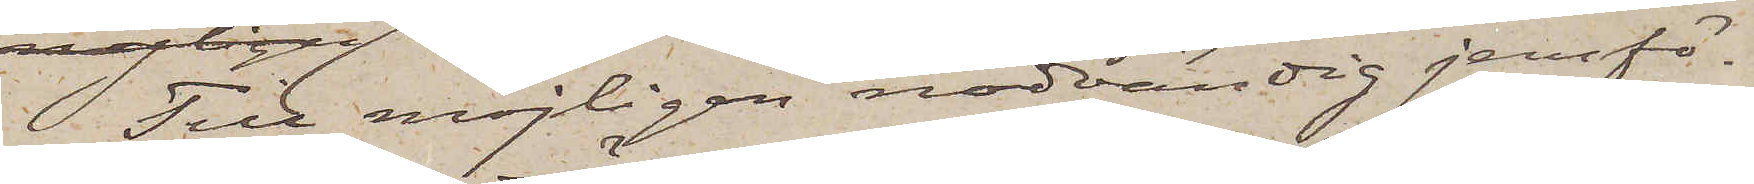Till möjligen nödvändig jemfö¬
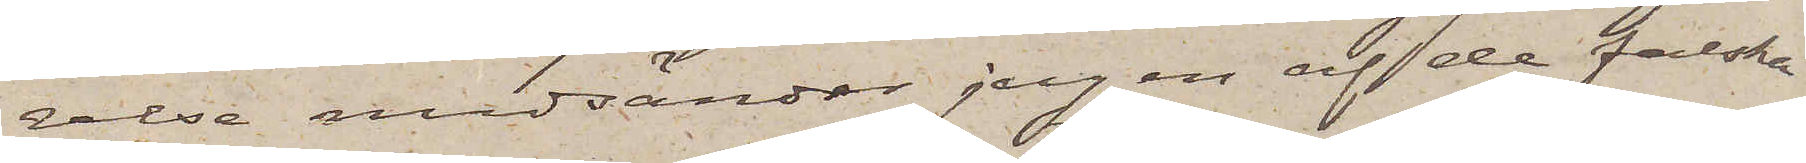relse medsänder jag en af de falska
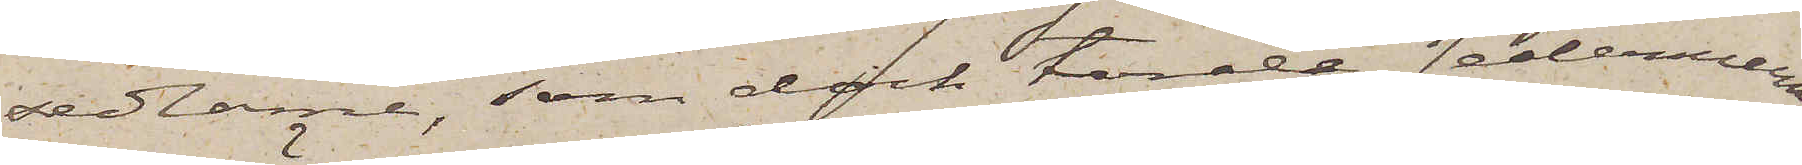sedlarne, som dock torde sedermera
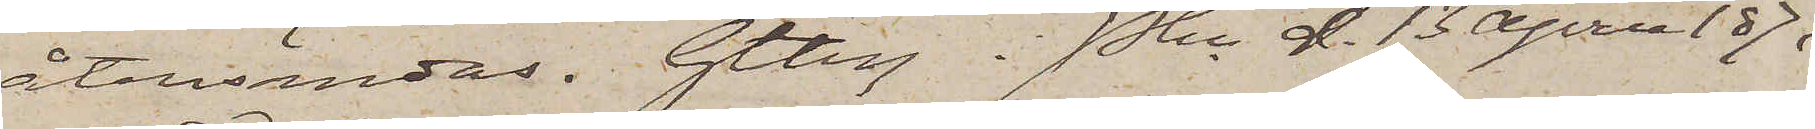återsändas. Gtbrg i Pkn d. 13 April 1871.
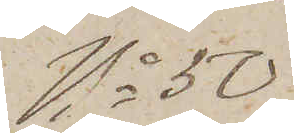No 50
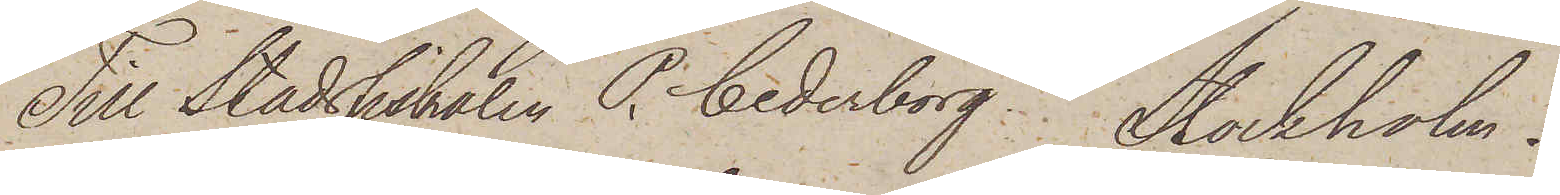Till Stadsfiskalen P. Cederborg. Stockholm.
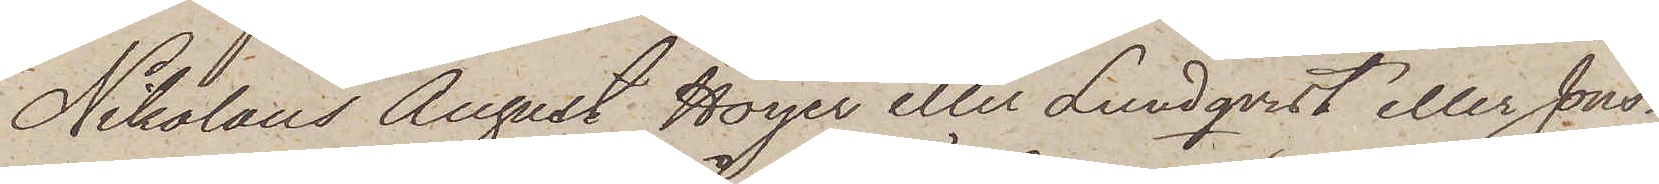Nikolaus August Höijer eller Lundqvist eller Jons¬
